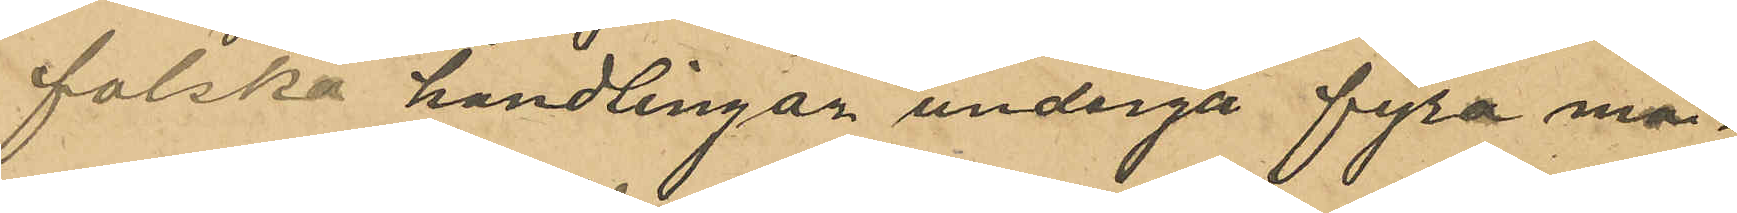falska handlingar undergå fyra må¬
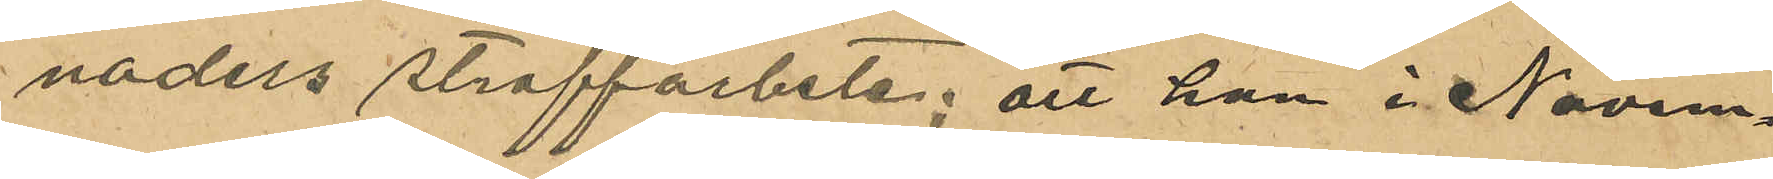naders straffarbete; att han i Novem¬
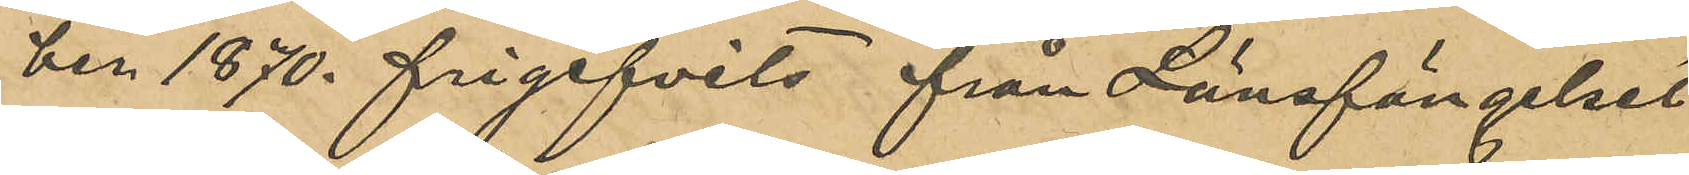ber 1870. frigifvits från Länsfängelset
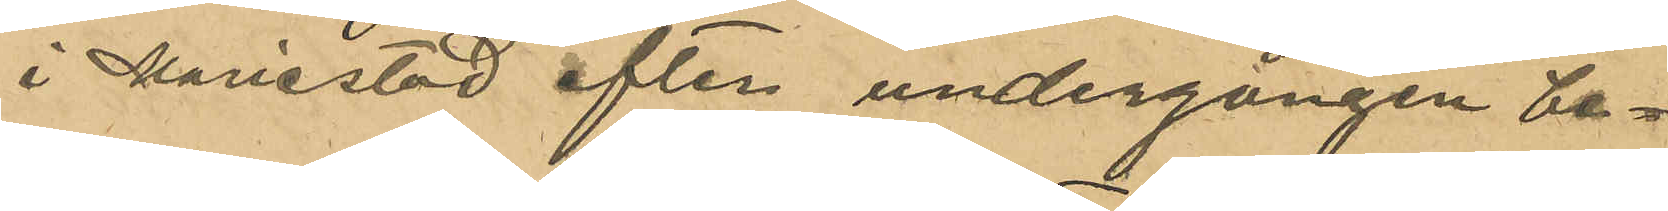i Mariestad efter undergången be¬
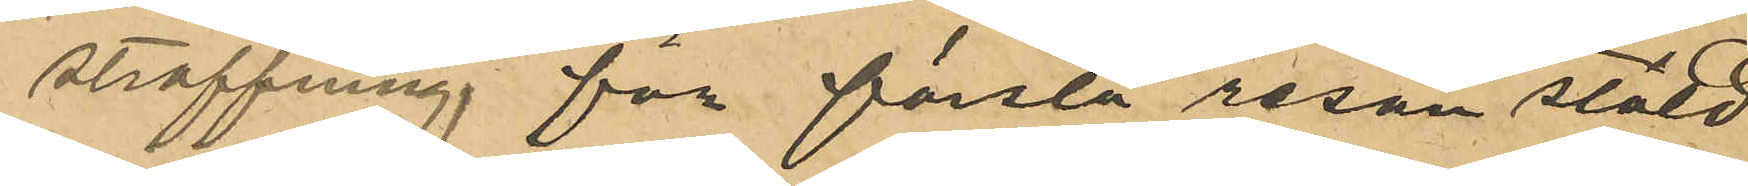straffning för första resan stöld
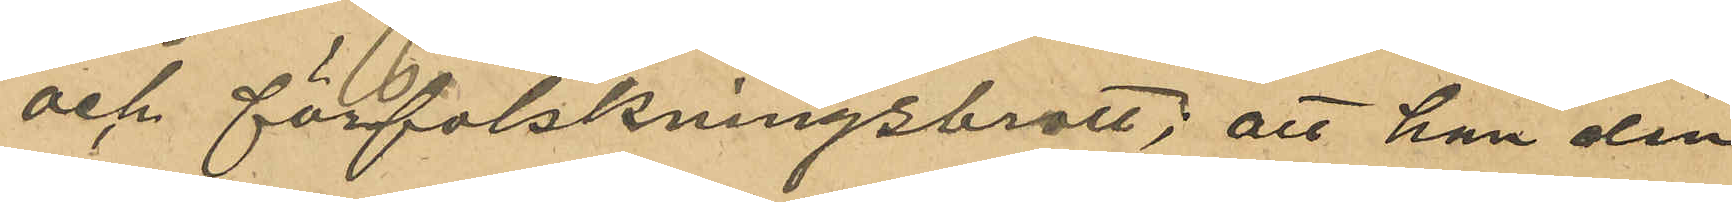och förfalskningsbrott; att han den
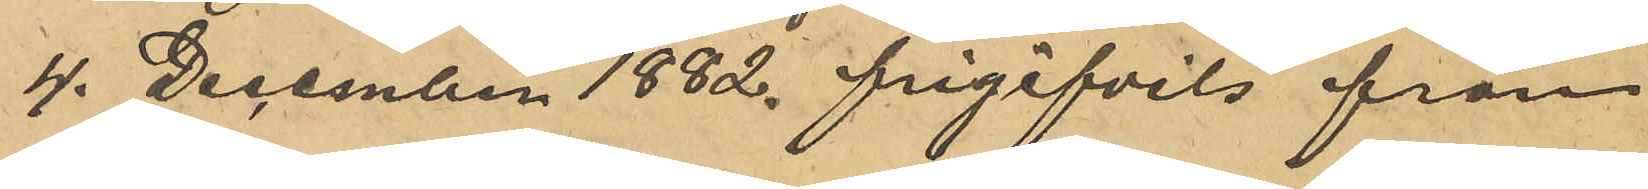4. December 1882 frigifvits från
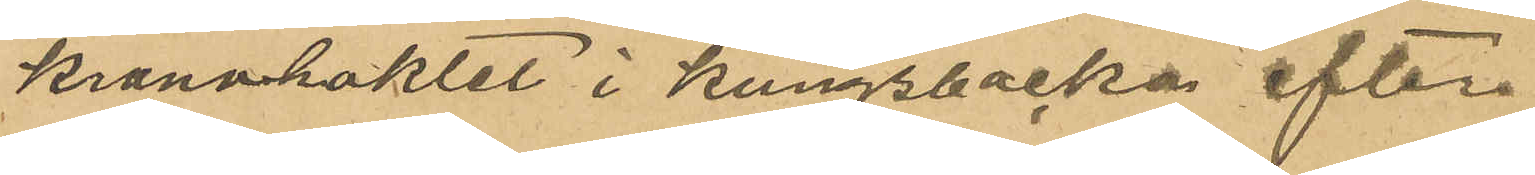Kronohaktet i Kungsbacka efter
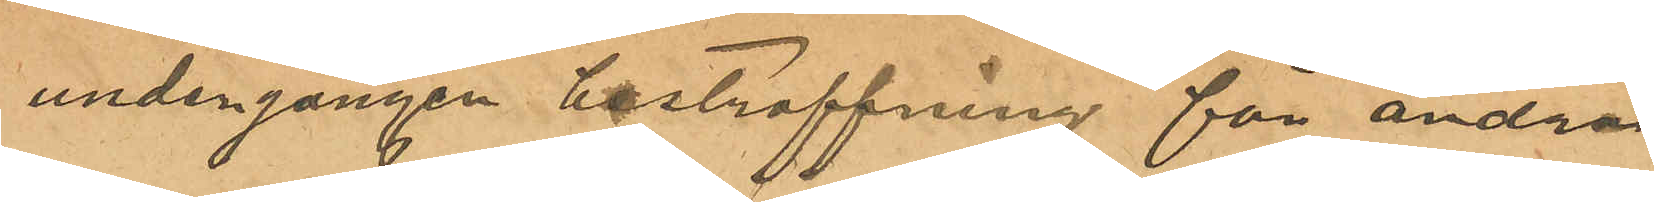undergången bestraffning för andra
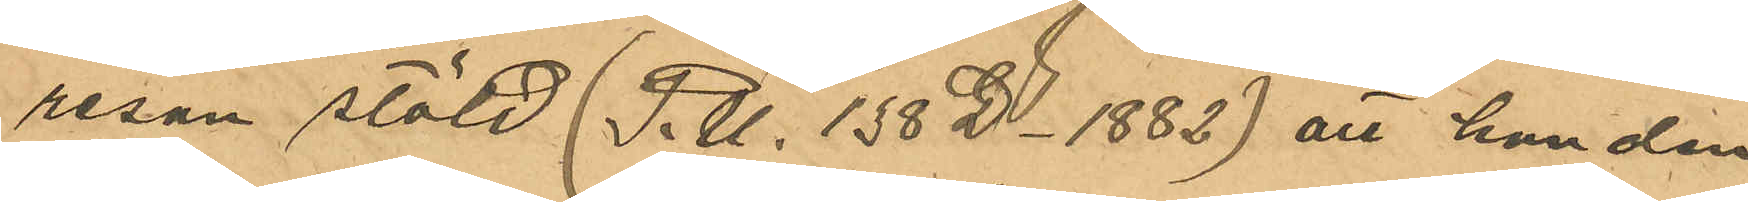resan stöld (P.U. 138 D - 1882) att han den
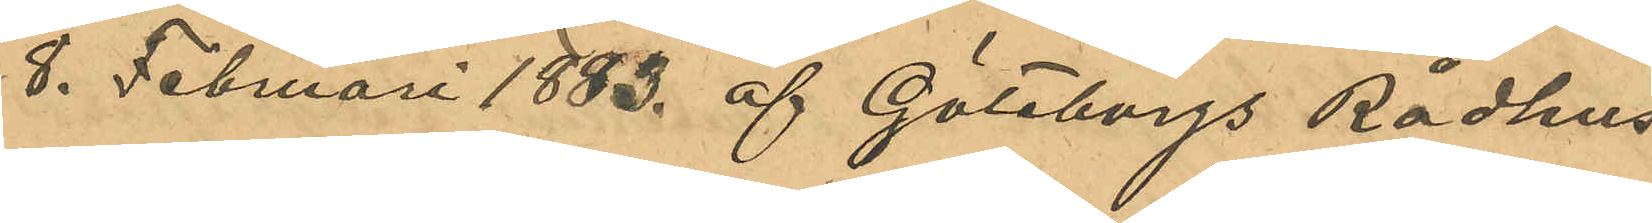8. Februari 1883 af Göteborgs Rådhus
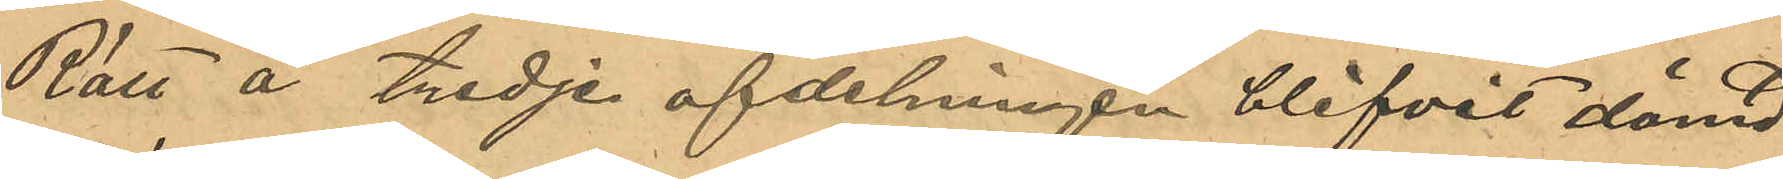Rätt å tredje afdelningen blifvit dömd
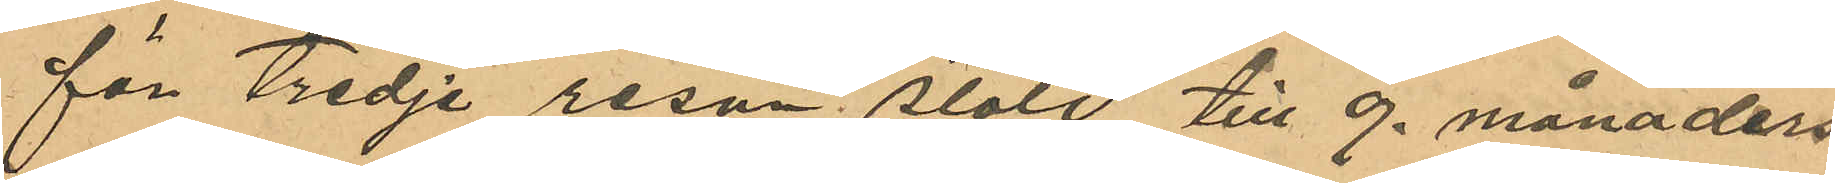för Tredje resan stöld till 9 månaders
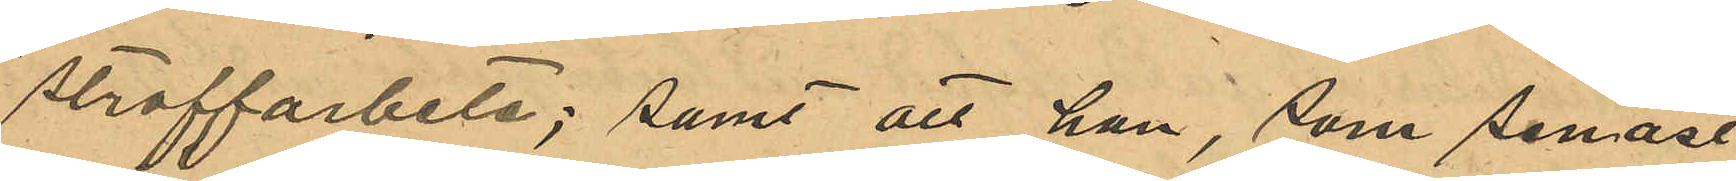straffarbete; samt att han, som senast
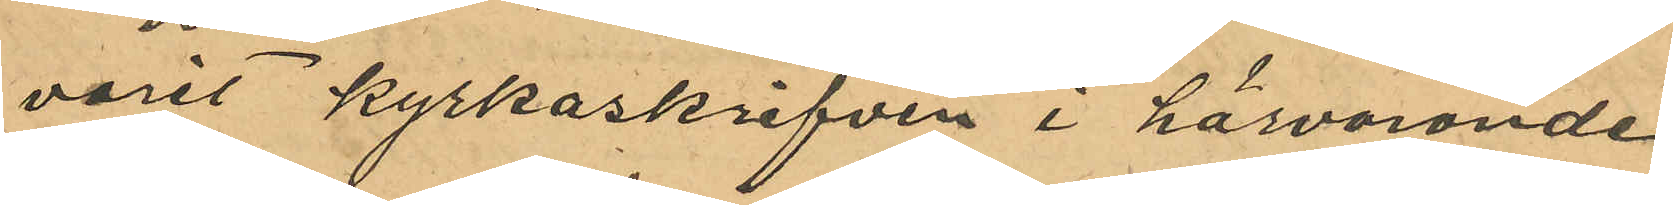varit kyrkskrifven i härvarande
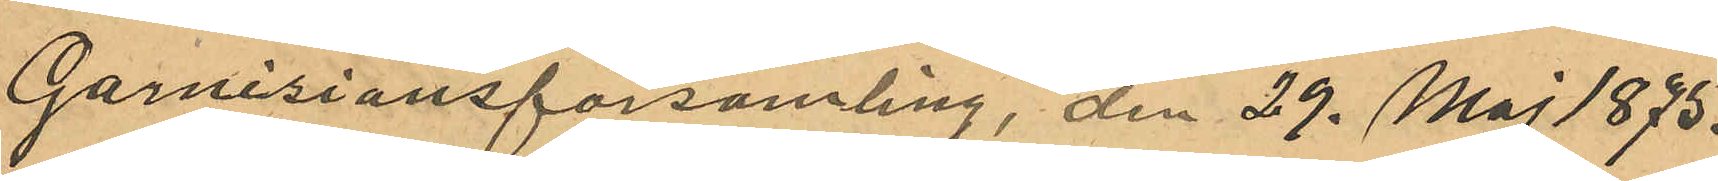Garnisonsförsamling, den 29. Maj 1875.
